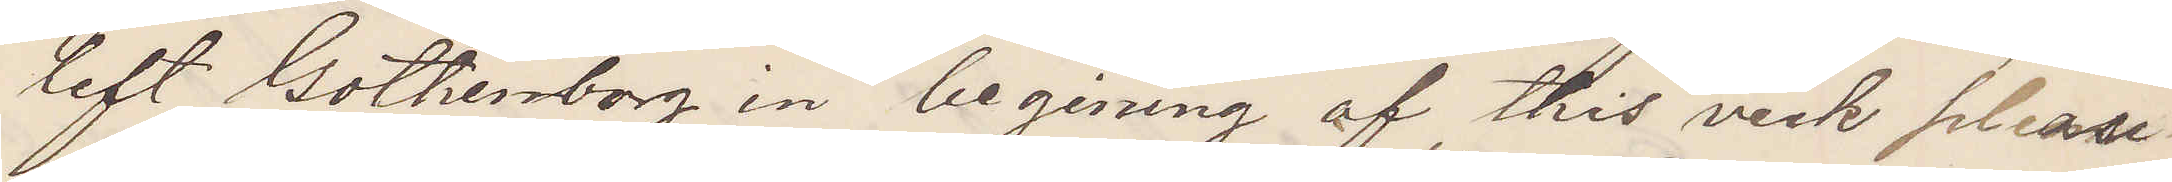left Gothenborg in beginning of this veek please
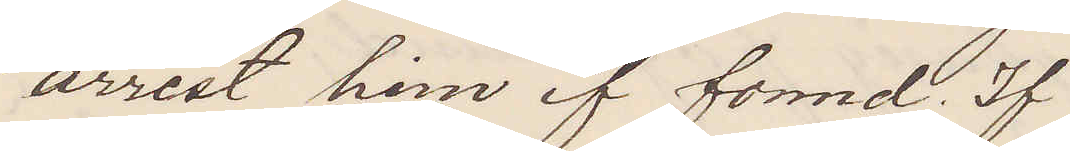arrest him if found. If 
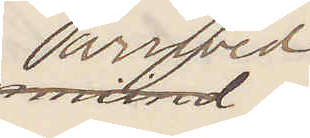arrived
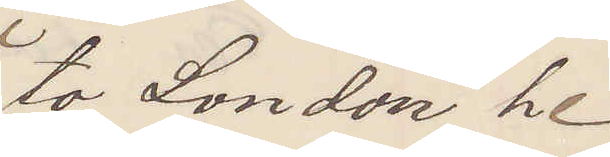to London he
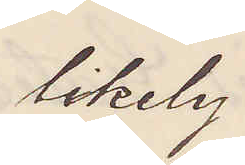likely
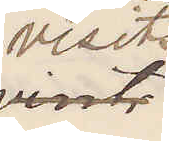visits
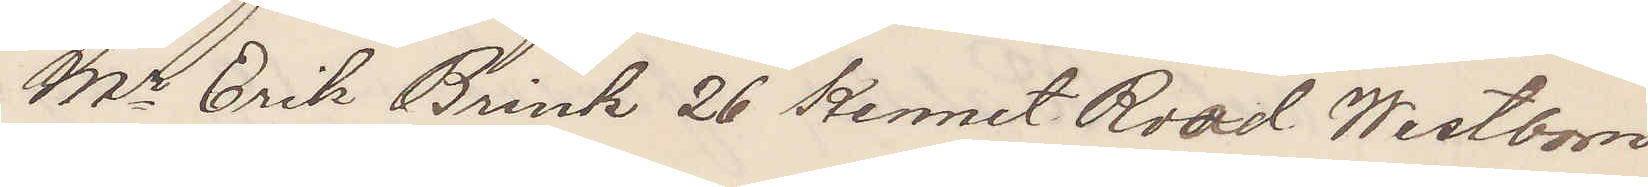Mr Erik Brink 26 Kennet Road Westborn
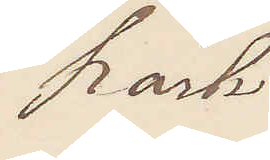Park
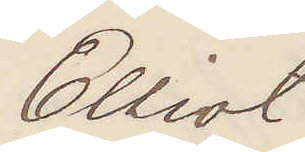Elliot
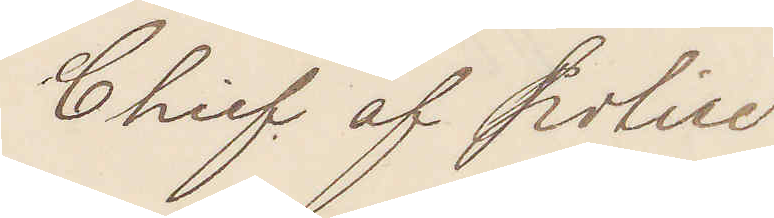Chief of Police
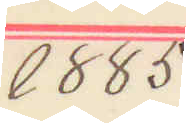1885
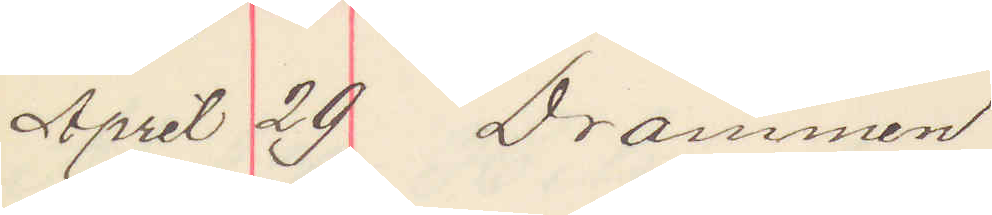April 29 Drammen
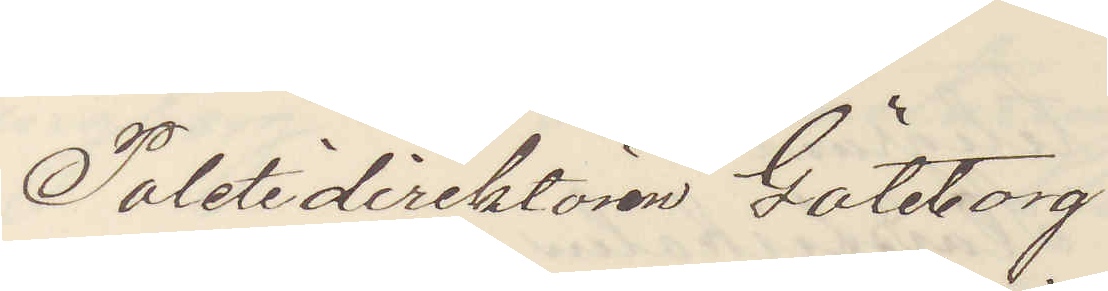Politidirektören Göteborg.
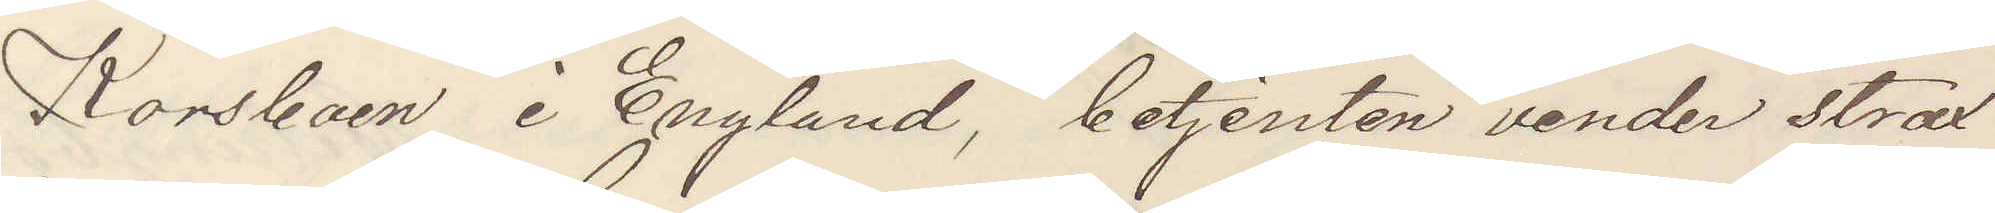Korsbaen i England, betjenten vender strax
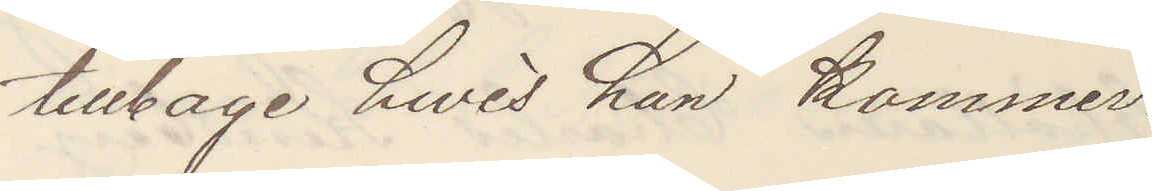tillbage hwis han kommer.
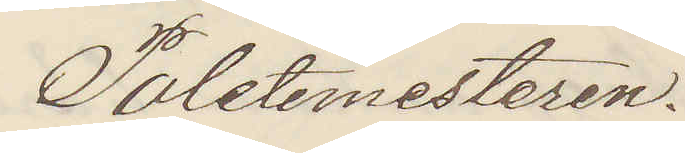Politimesteren.
